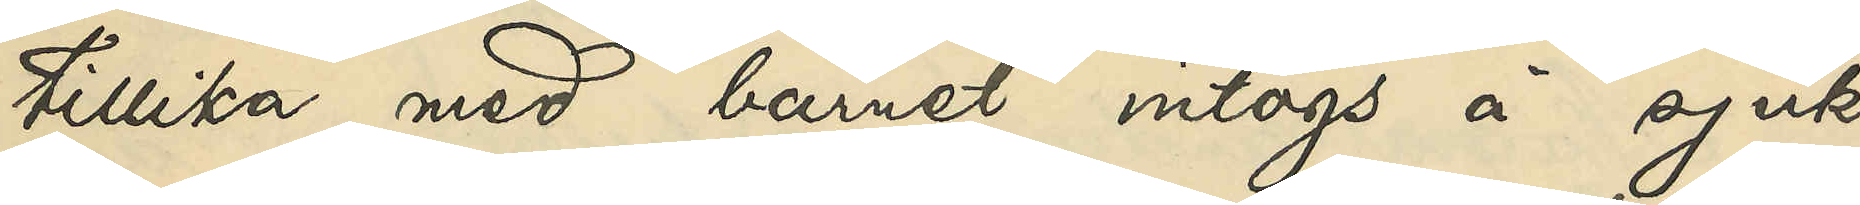tillika med barnet intogs å sjuk¬
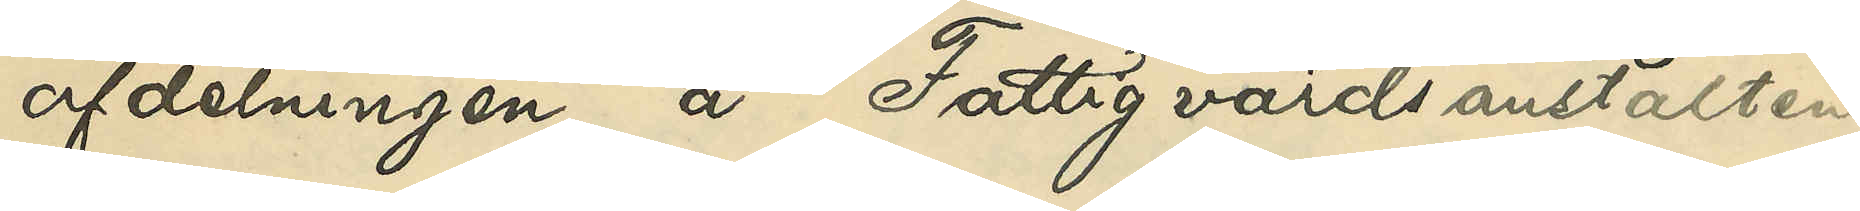afdelningen å Fattigvårdsanstalten
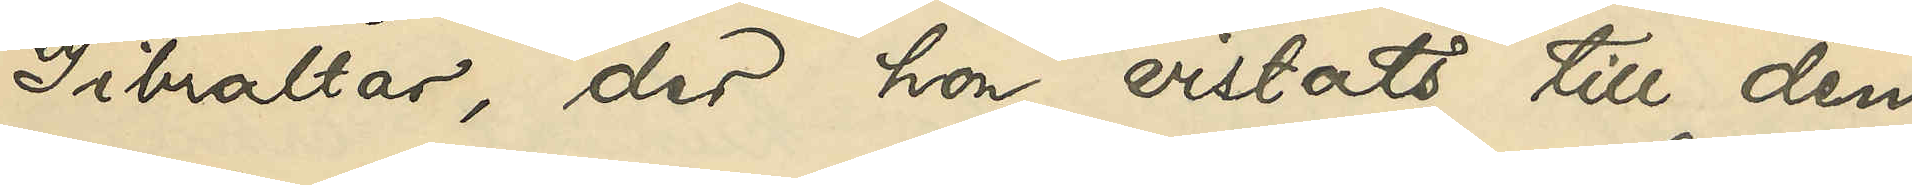Gibraltar, der hon vistats till den
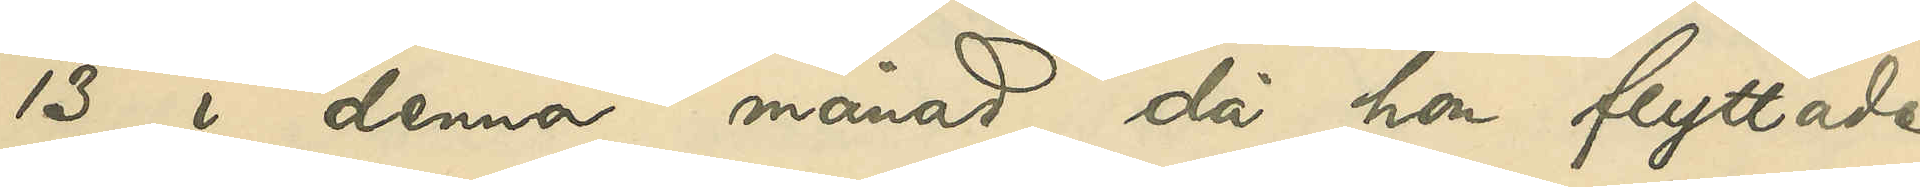13 i denna månad, då hon flyttade
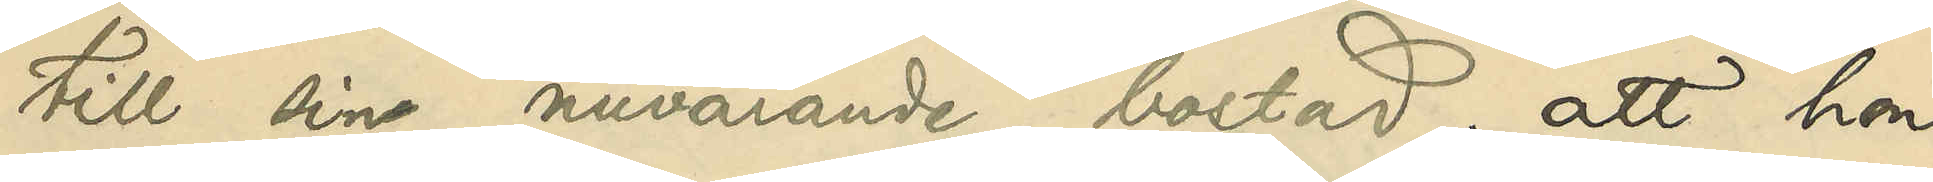till sin nuvarande bostad; att hon
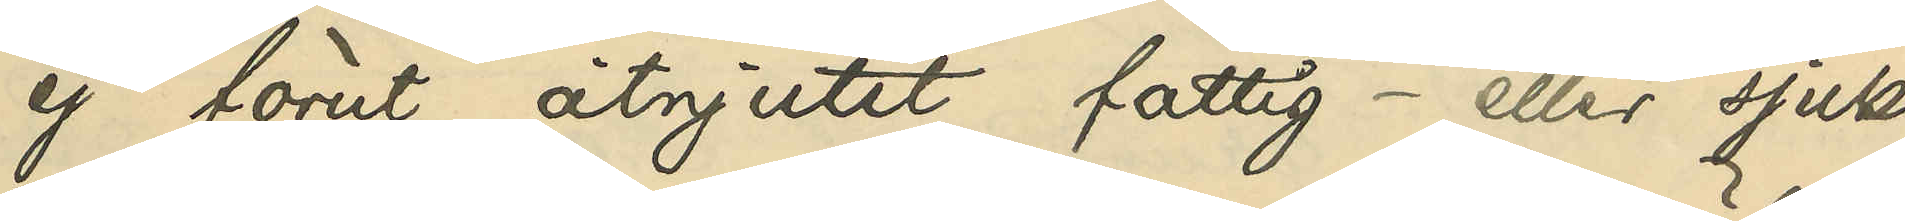ej förut åtnjutit fattig- eller sjuk¬
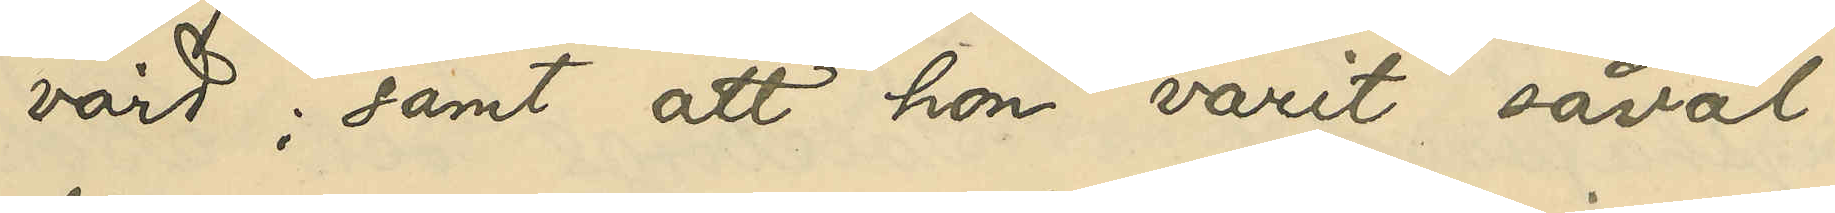vård; samt att hon varit såväl
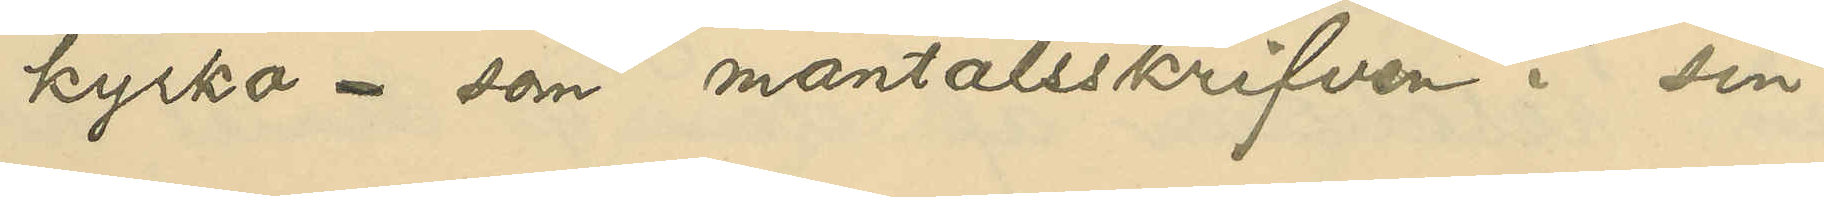kyrko- som mantalsskrifven i sin
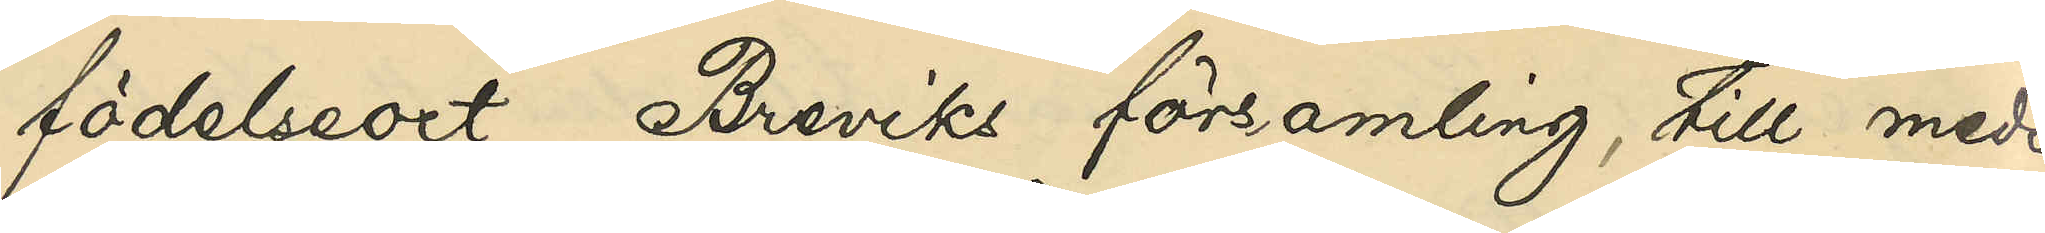födelseort, Breviks församling, till medio
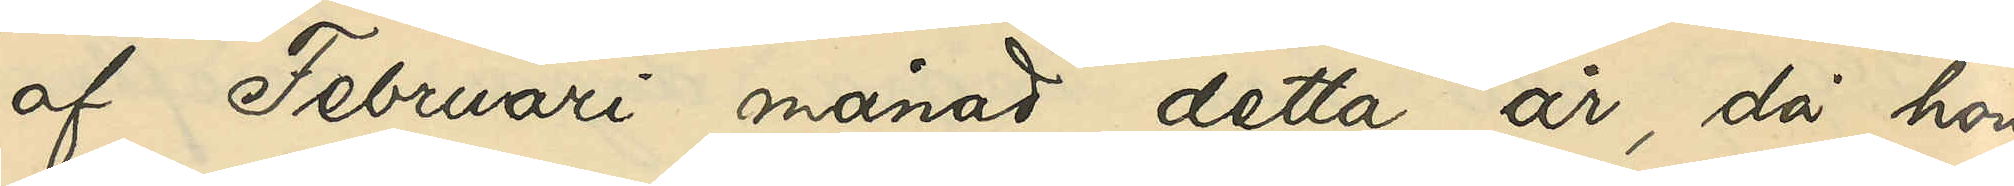af Februari månad detta år, då hon
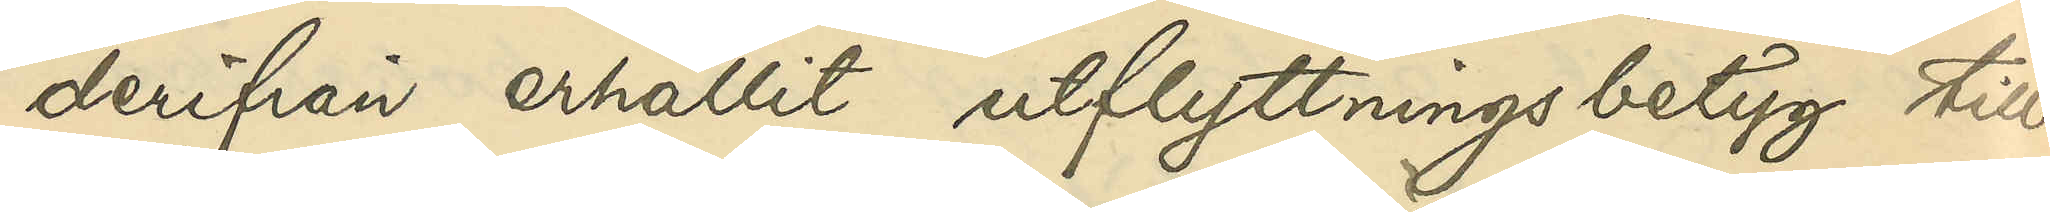derifrån erhållit utflyttningsbetyg till
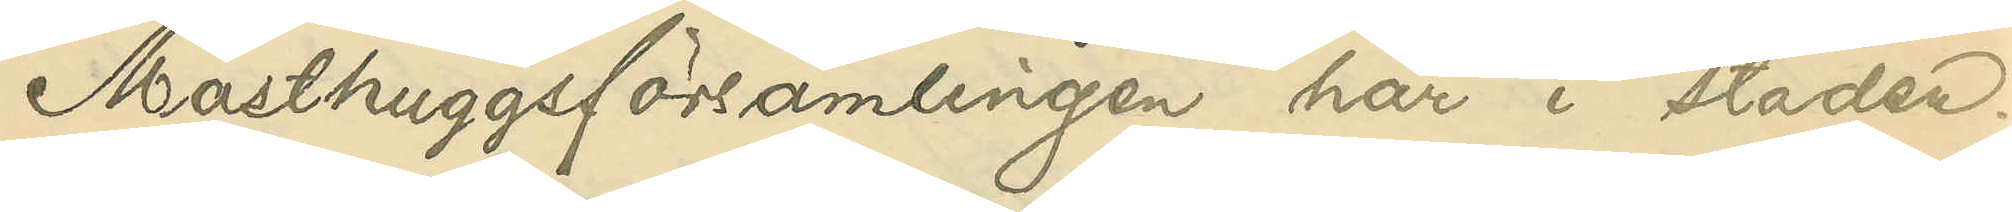Masthuggsförsamlingen här i staden.
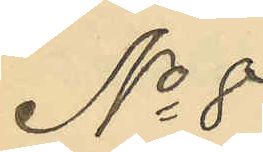No 8
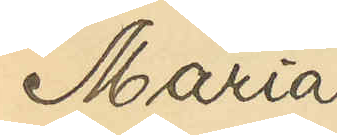Maria
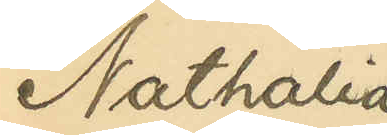Nathalia
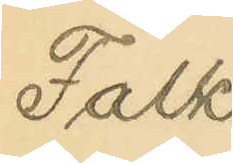Falk
